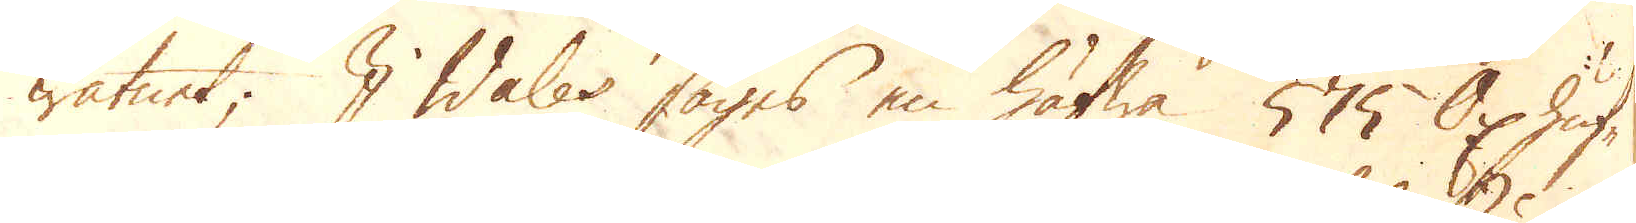watnet; I Wales säijes en häfwa 575 Oxhuf-
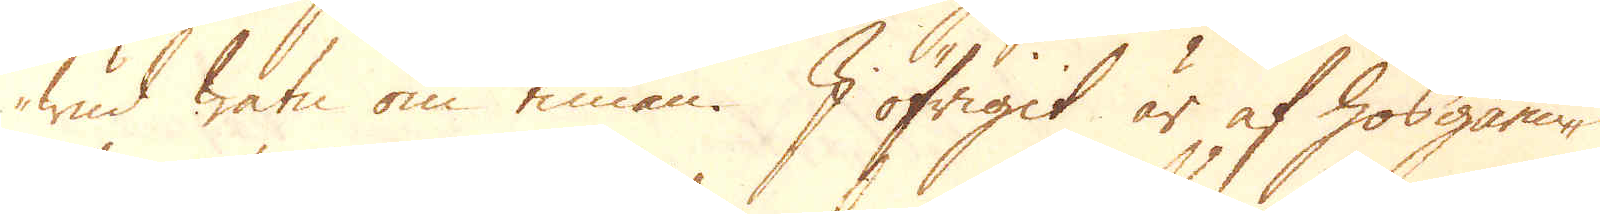wud watn om timan. I öfrigit är af hosgåen-
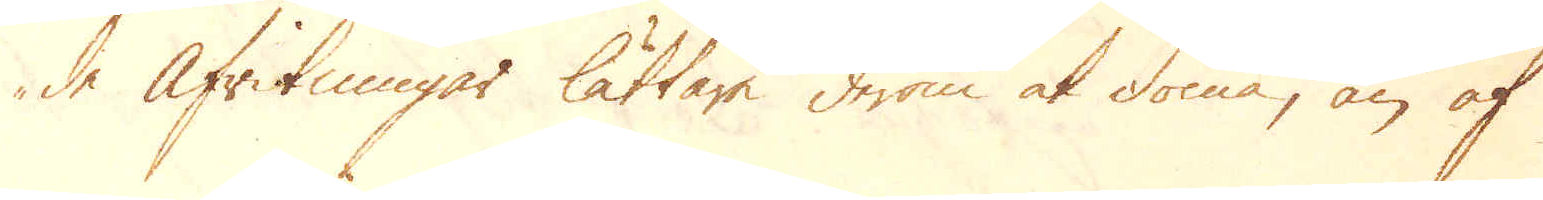de Afritning lättare derom at döma, än af
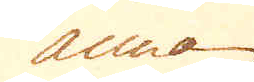annan
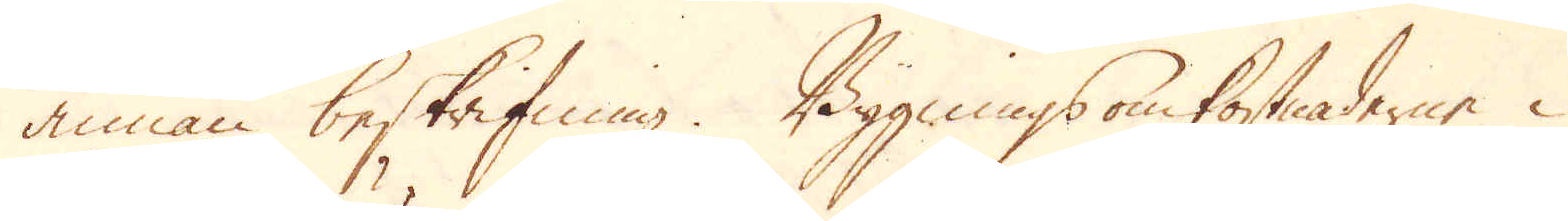annan beskrifning. Byggnings omkostnaderne i
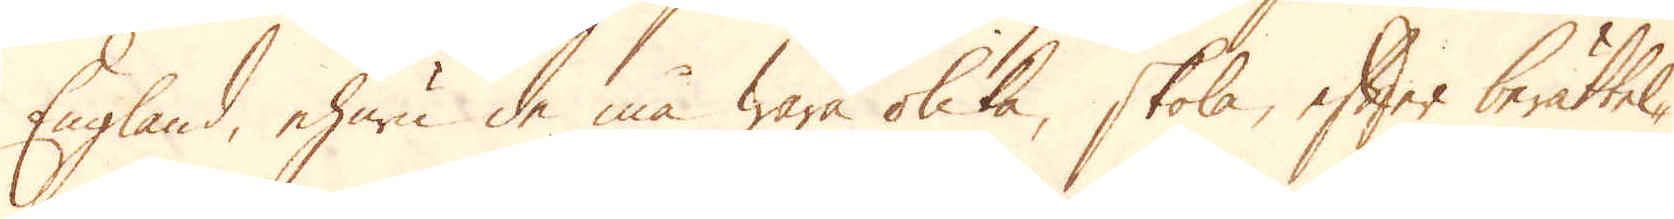England, ehuru de må wara olika, skola, efter berättel-
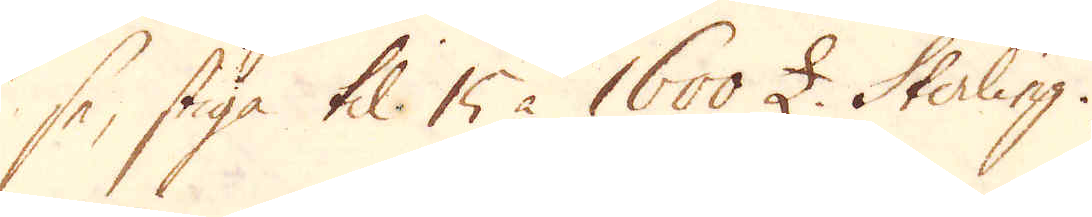se, stiga til 15 à 16000 £ Sterling.
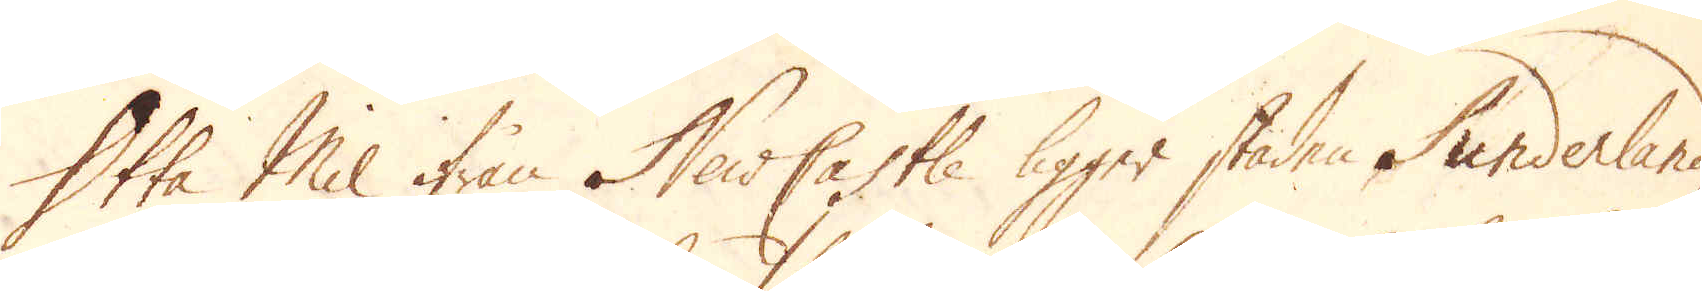Otta Mil ifrån NewCastle ligger staden Sunderland,
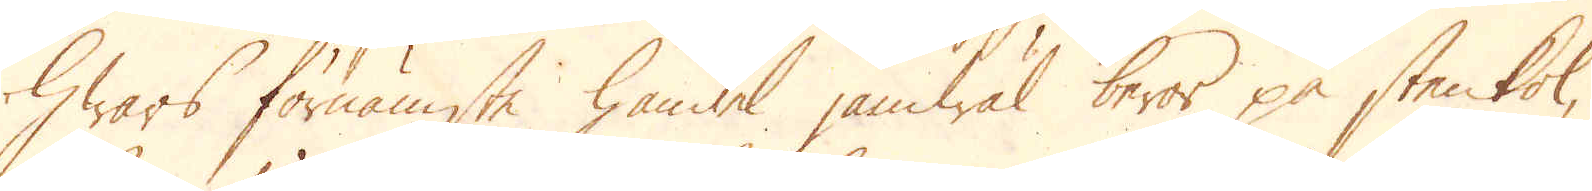hwars förnämsta handel jämwäl beror på stenkol,
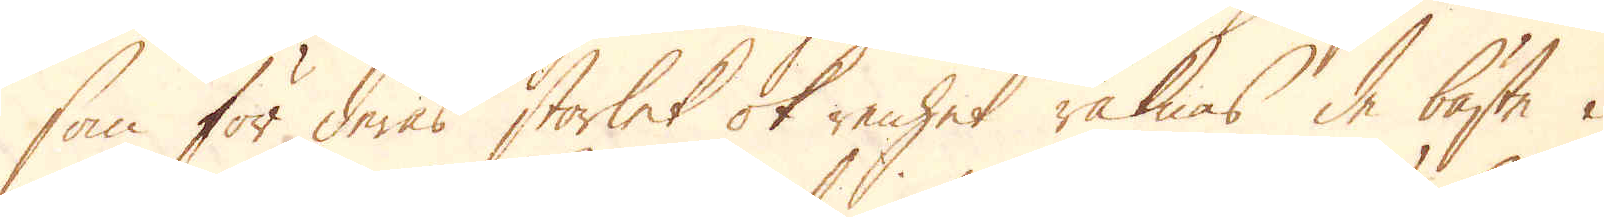som för deras storlek ok renhet räknas de bästa i
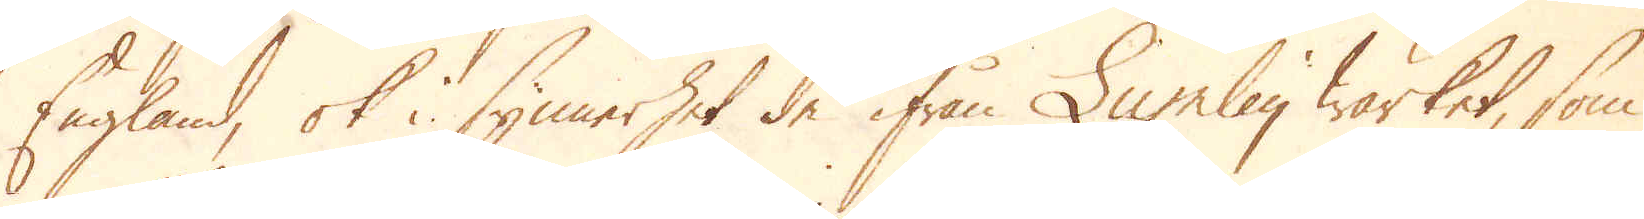England, ok i synnerhet de ifrån Lumley wärket, som
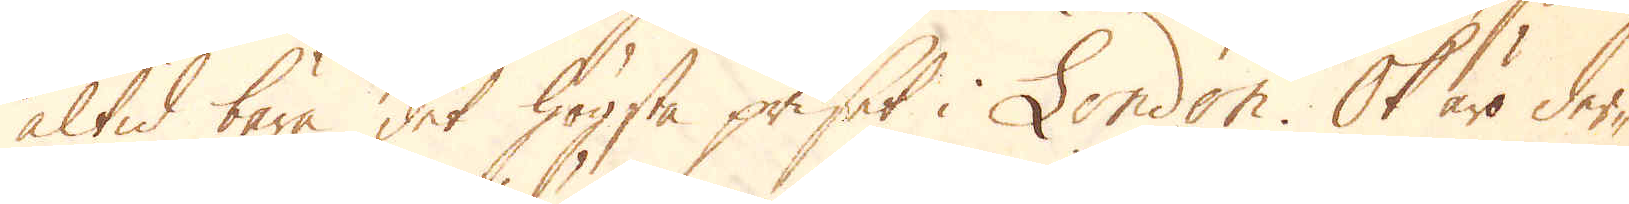altid bära det högsta priset i London. Ok äro der-
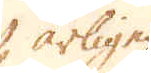årlige
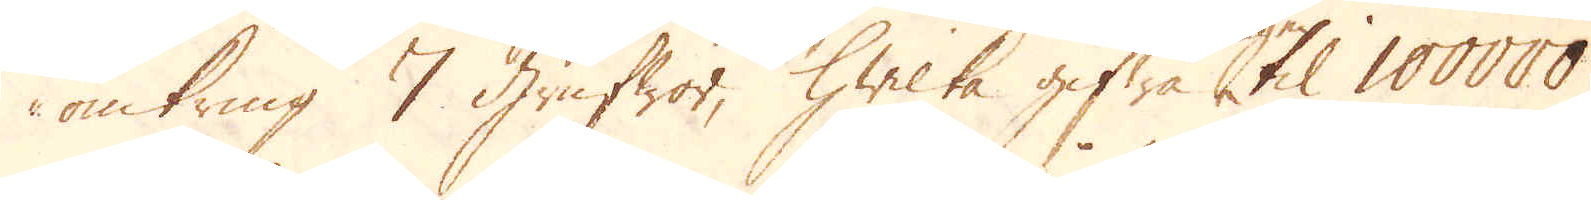omkring 7 Grufwor, hwilka gifwa til 100000
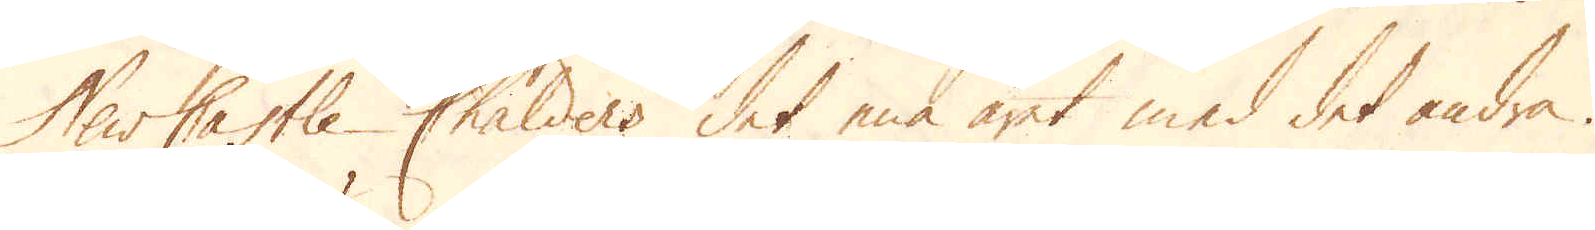NewCastle Chalders det ena året med det andra.
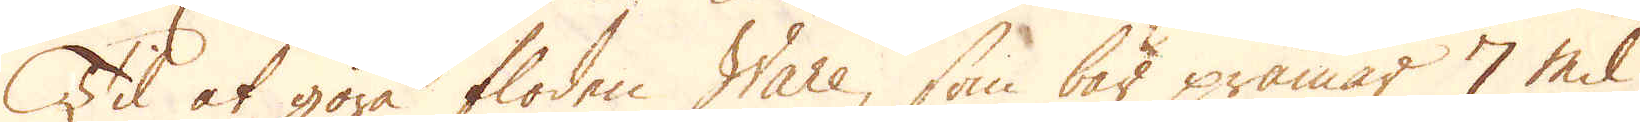Til at göra floden Ware, som bär pråmar 7 mil
